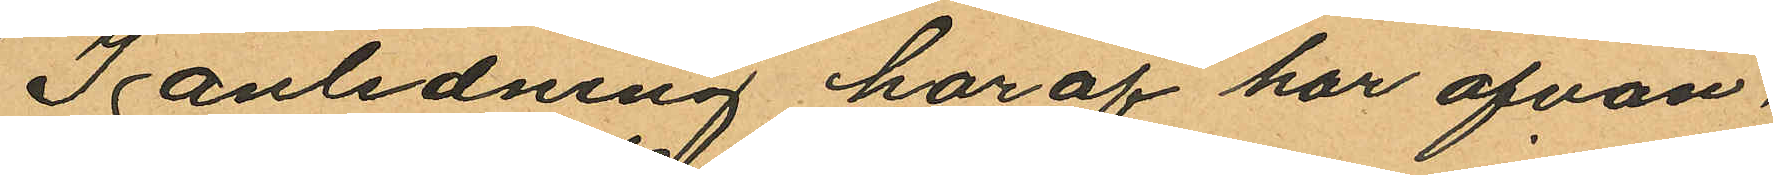I anledning haraf har ofvan
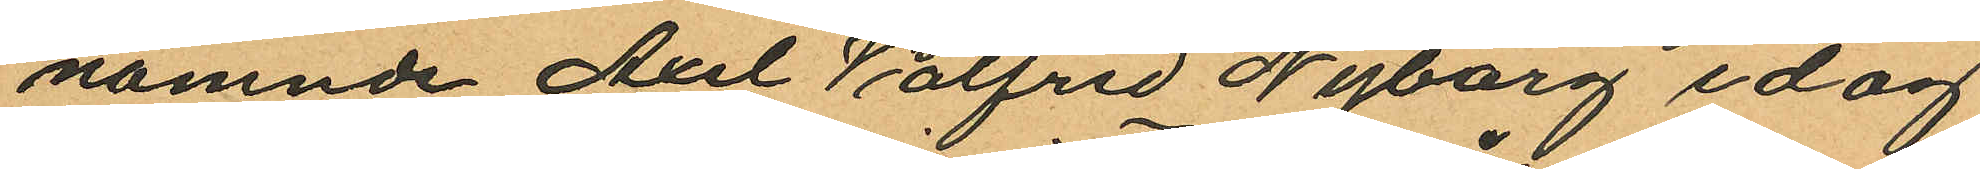nämnde Axel Valfrid Nyberg idag
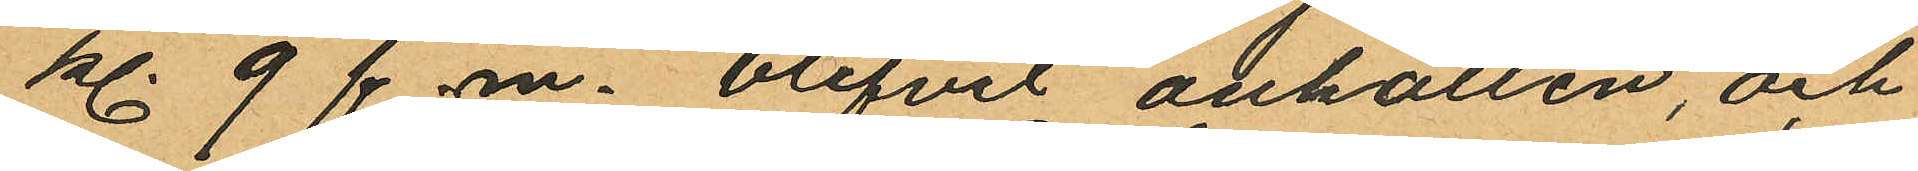kl. 9 f.m. blifvit anhållen, och
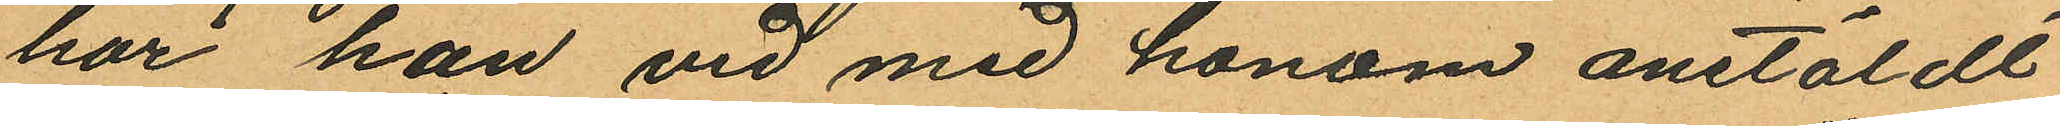har han vid med honom anstäldt
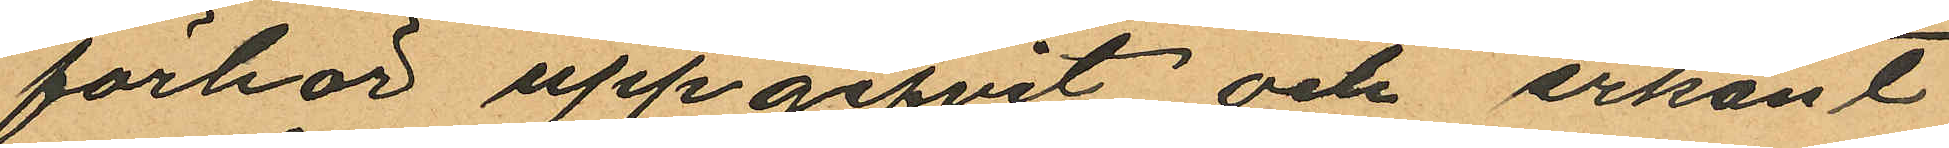förhör uppgifvit och erkänt
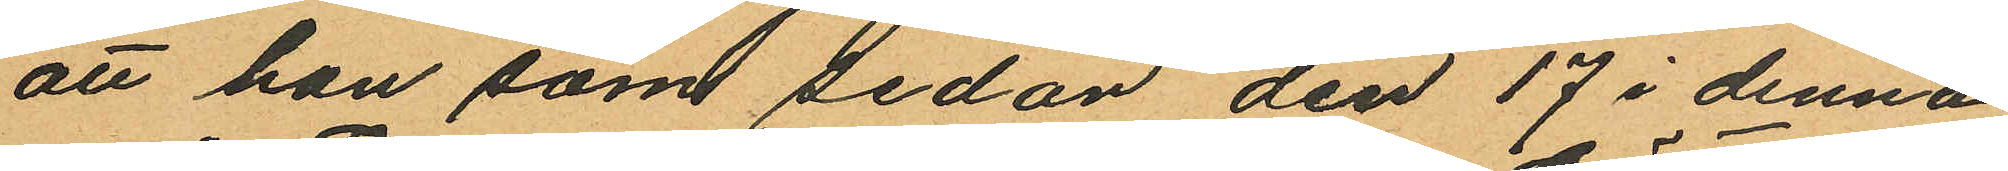att han som sedan den 17 i denna
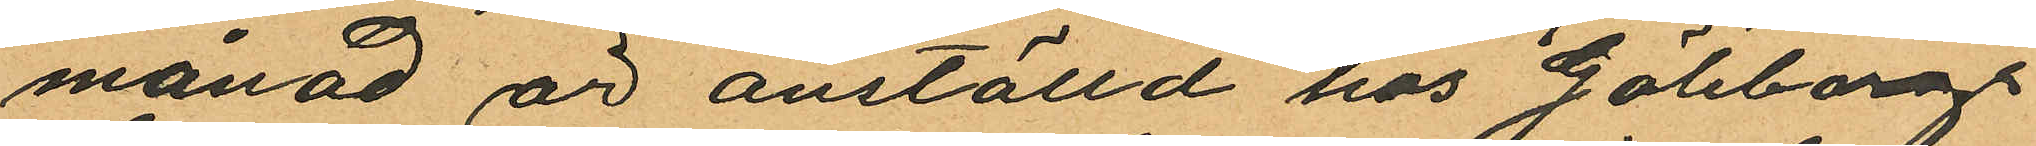månad är anställd hos Göteborgs
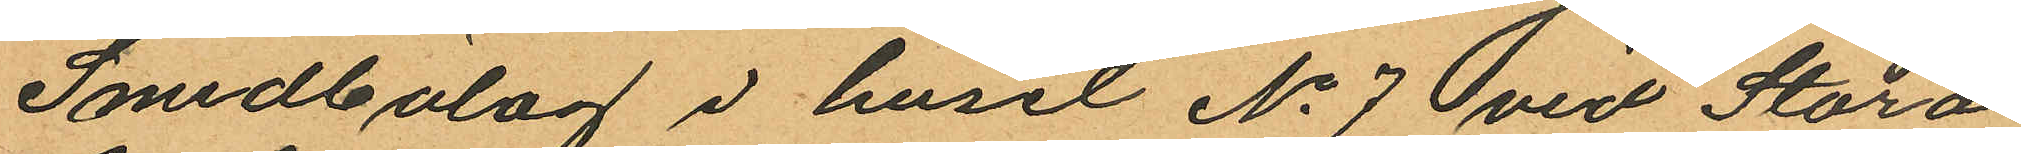Smedbolag i huset No 7 vid Stora
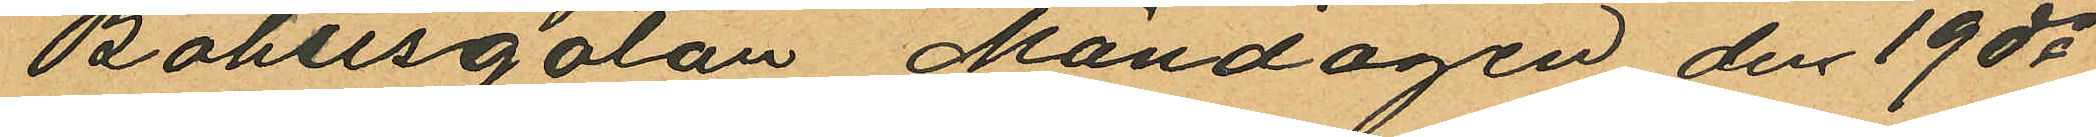Bohusgatan, Måndagen den 19 ds
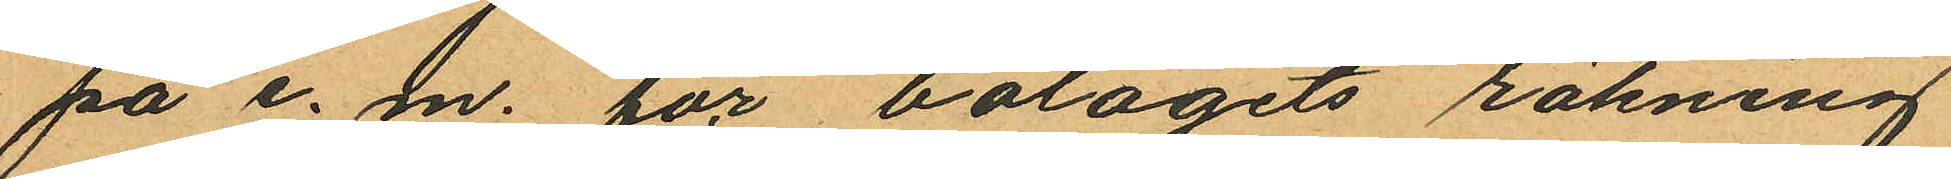på e. m. för bolagets räkning
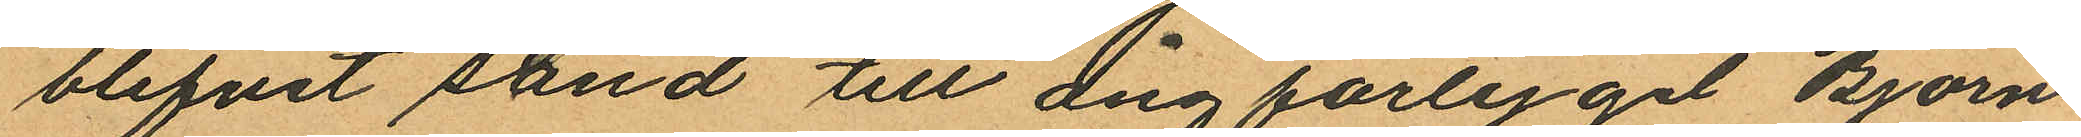blifvit sänd till ångfartyget Björn
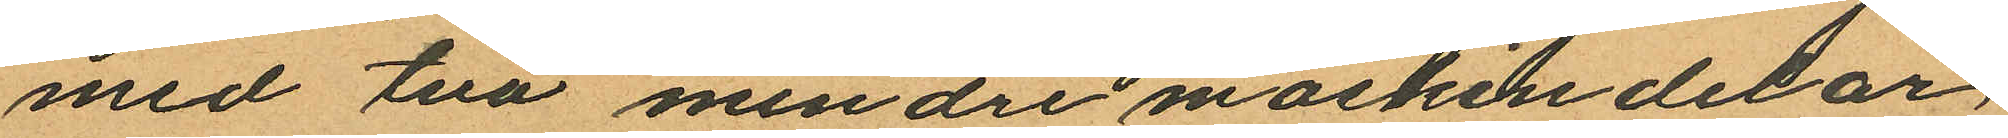med två mindre maskindelar
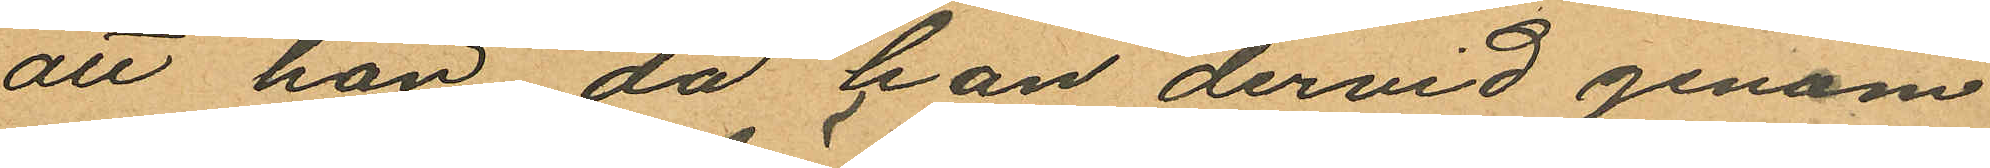att han då han dervid genom
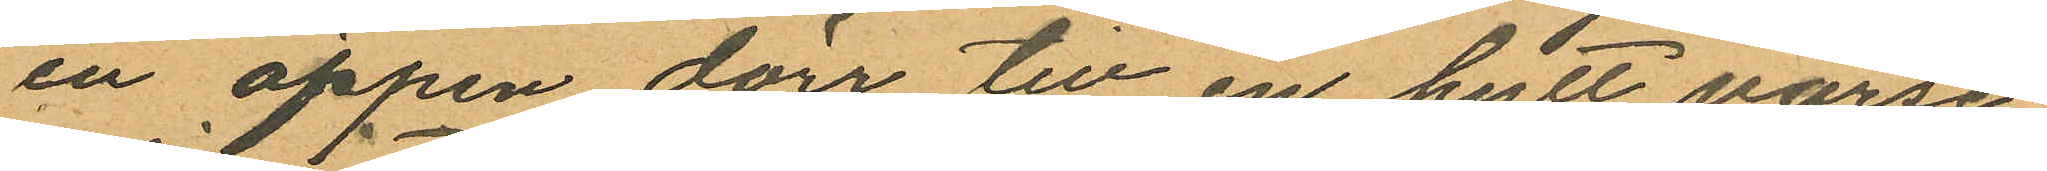en öppen dörr till en hytt varse
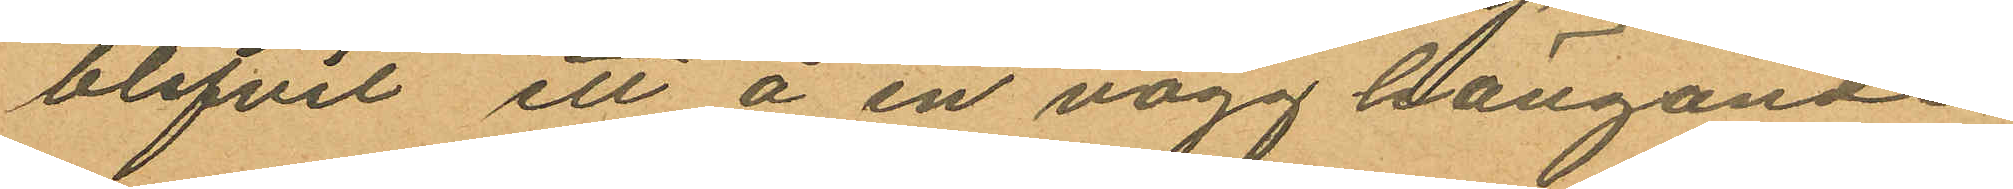blifvit ett å en vägg hängande
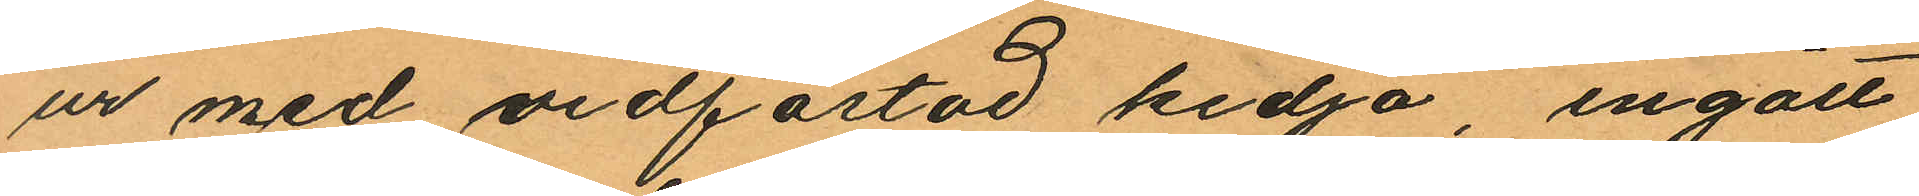ur med vidfästad kedja, ingått
